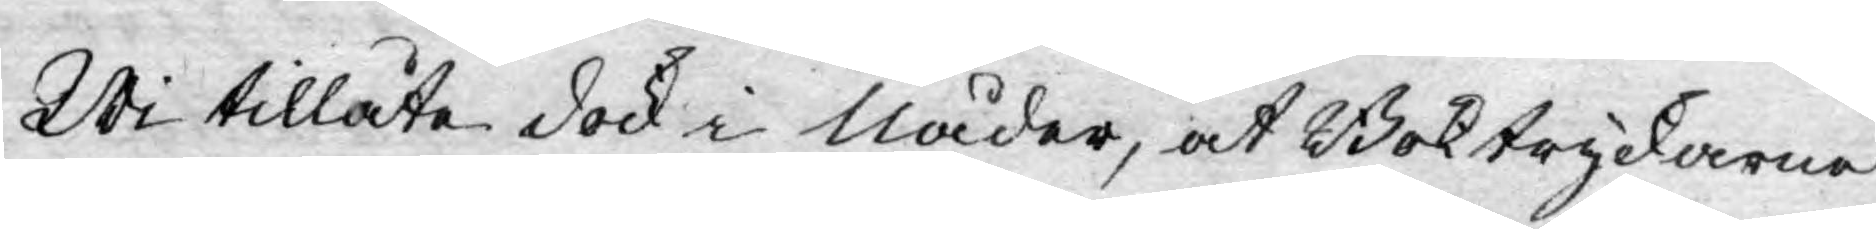Wi tillåte dock i Nåder, at Boktryckarne
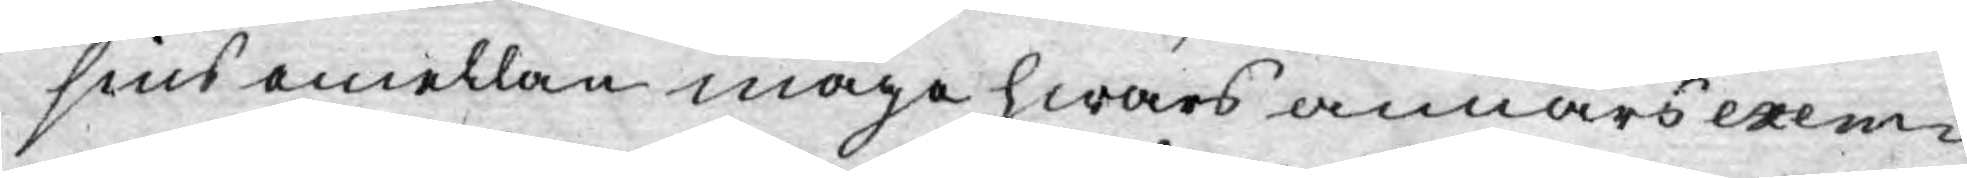sins emellan måge hwars annars exem¬
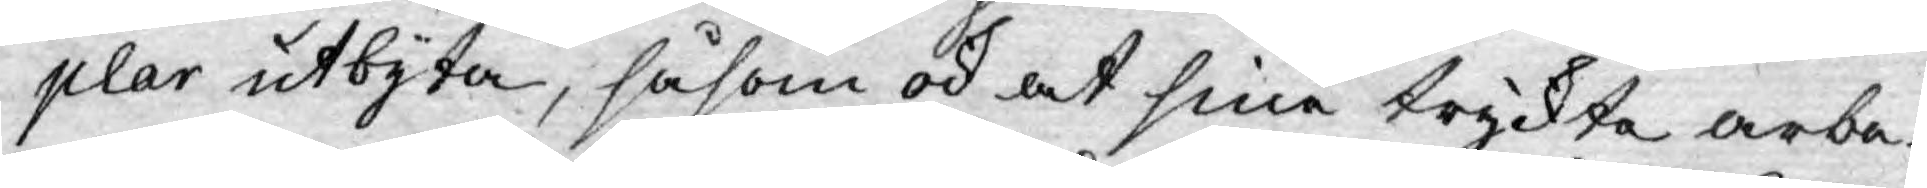plar utbyta, såsom ock at sine tryckta arbe¬
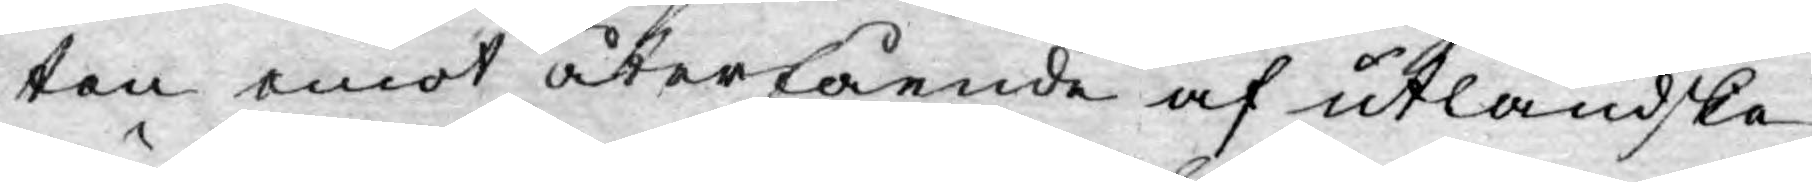ten emot återfående af utländska
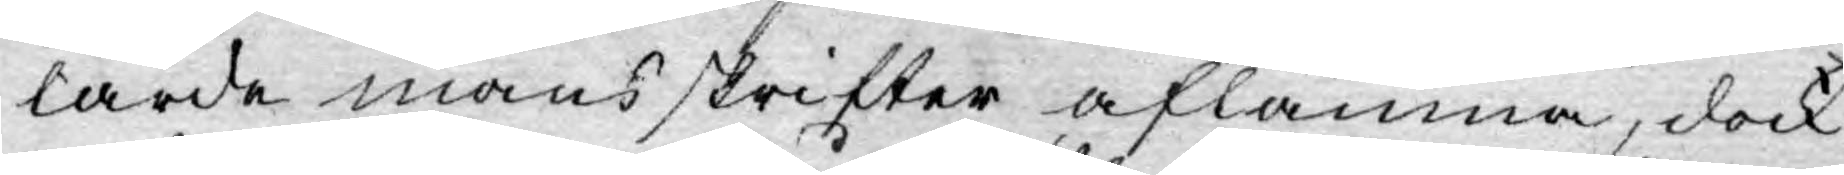lärde mäns skrifter aflämna, dock
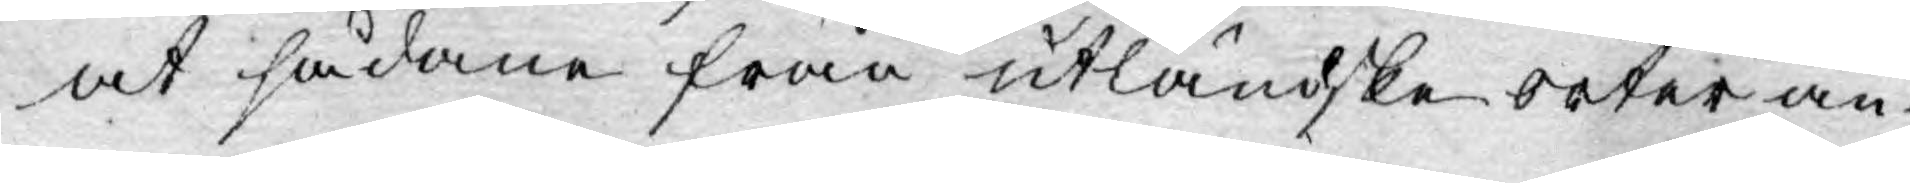at sådane från utländske orter an¬
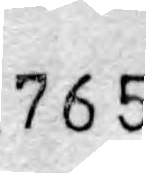765
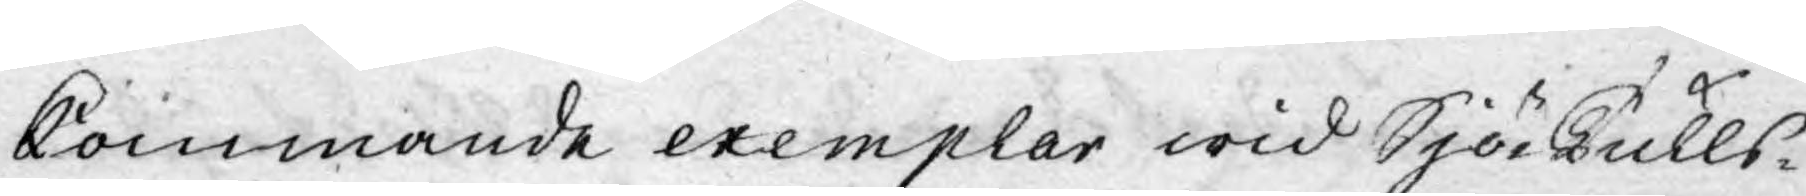kommande exemplar wid SjöTulls¬
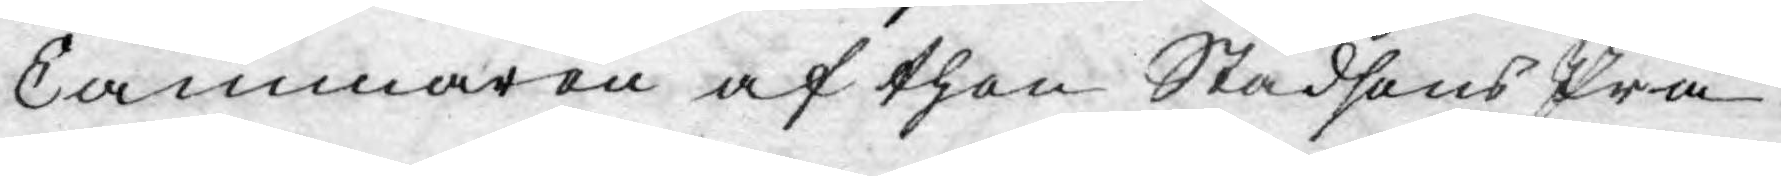Cammaren af then Stadsens Prä¬
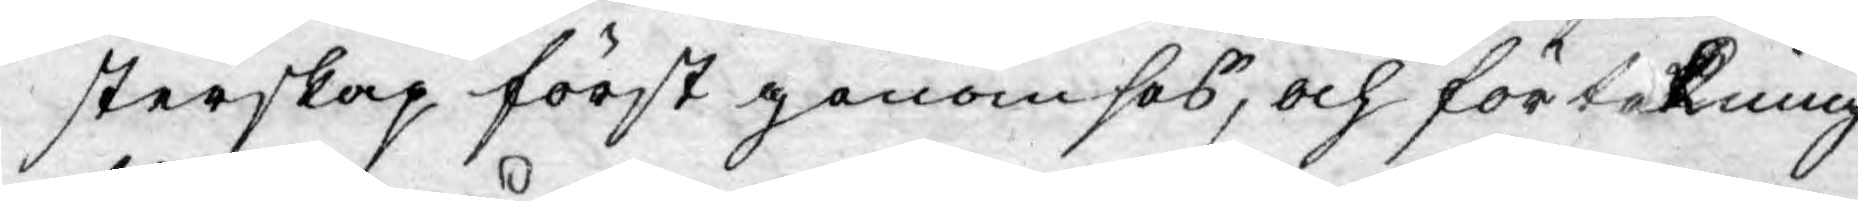sterskap först genomses, och förtekning
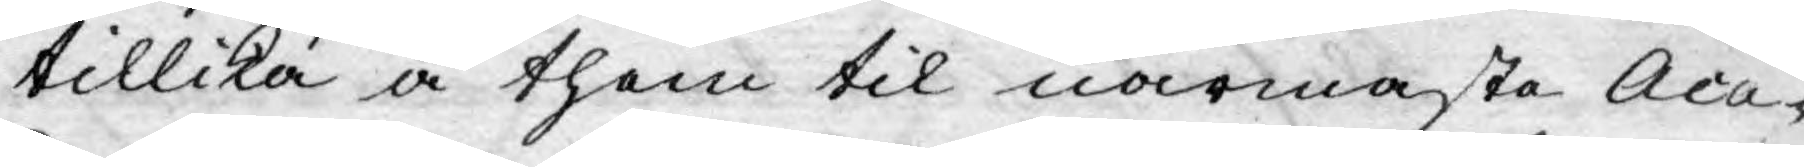tillika å them til närmaste Aca¬
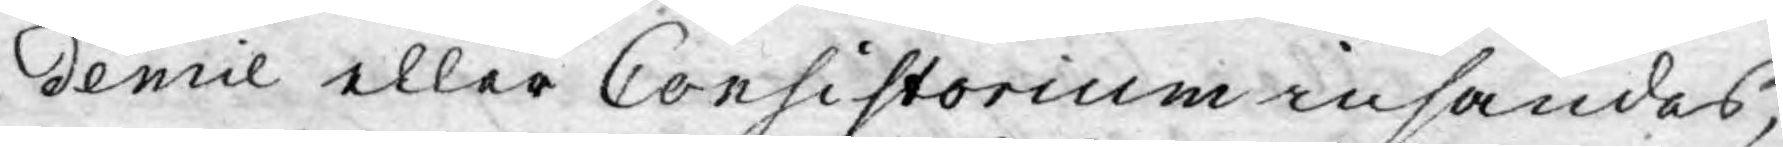demie eller Consistorium insändes,
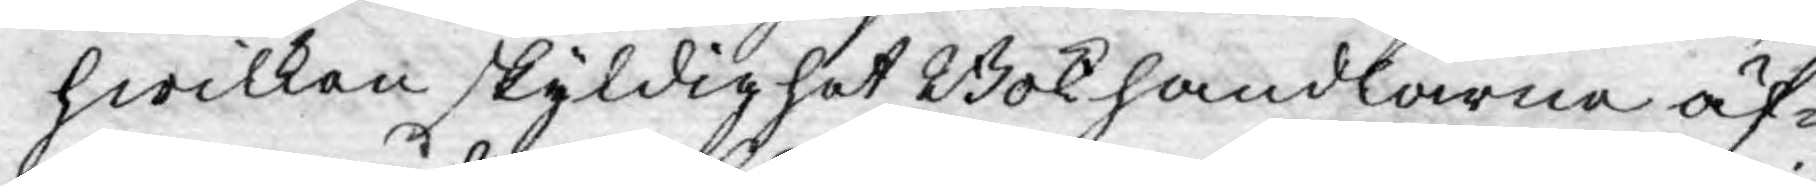hwilken skyldighet Bokhandlarne äf¬
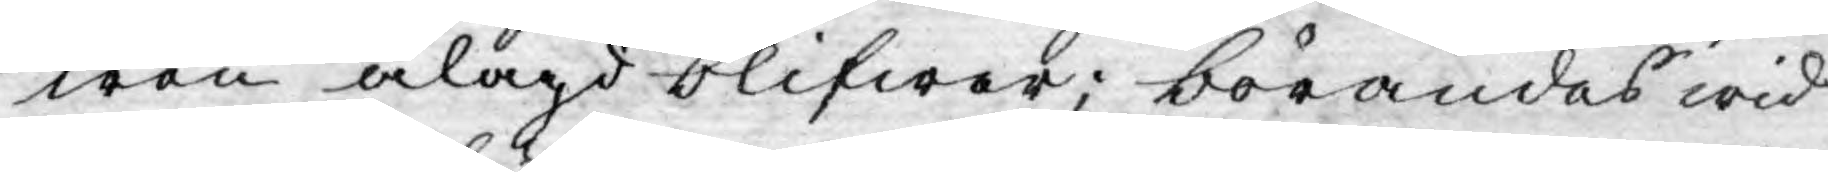wen ålagd blifwer; börandes wid
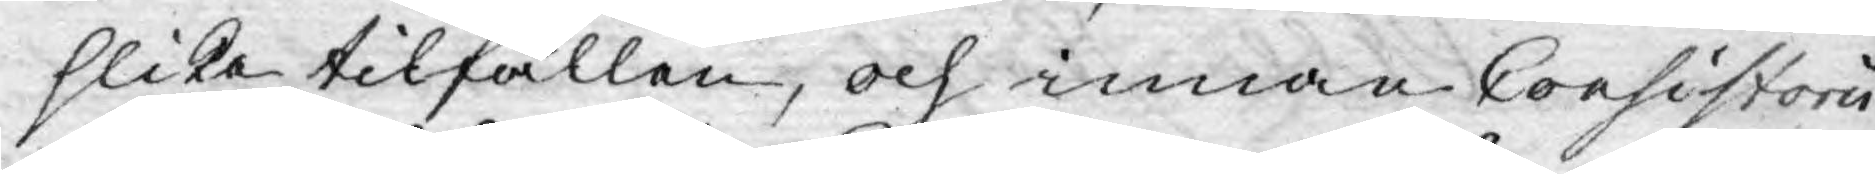slika tilfällen, och innan Consistorii
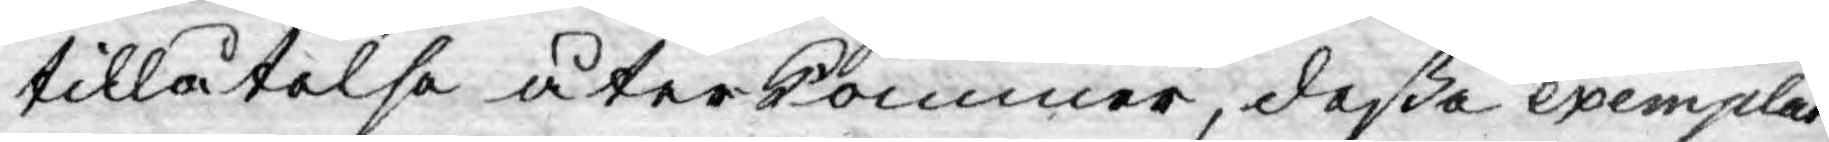tillåtelse återkommer, deße exemplar
